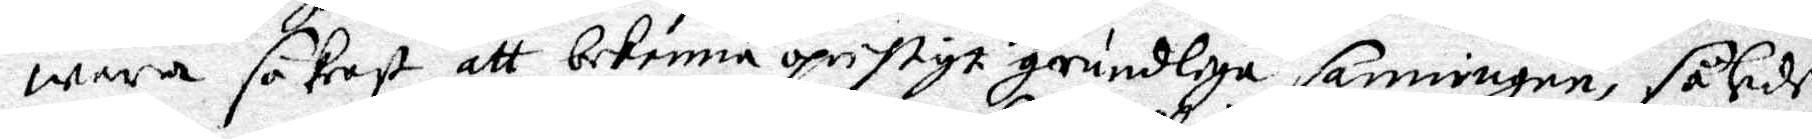wara säkrast att bekenna oprihtigt grundmiga sanningar, således
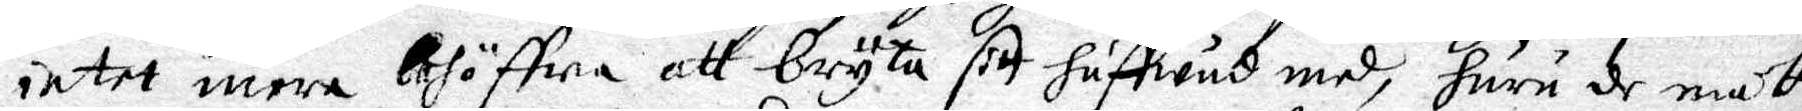intet mera behöffa att bryta sitt huffwud med, huru de måtte
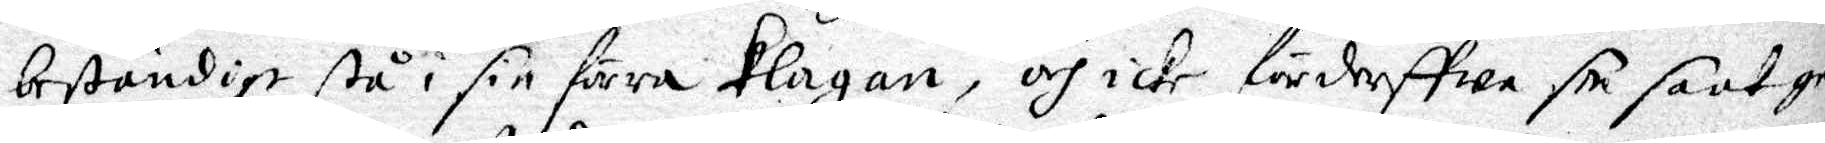beständigt stå i sin förra klagan, och icke förderffwa sin saak gen
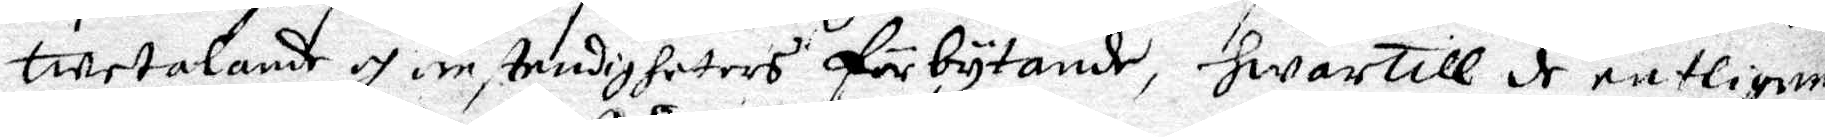twetalande och omstendigheters förbytande, hwartill de entligen
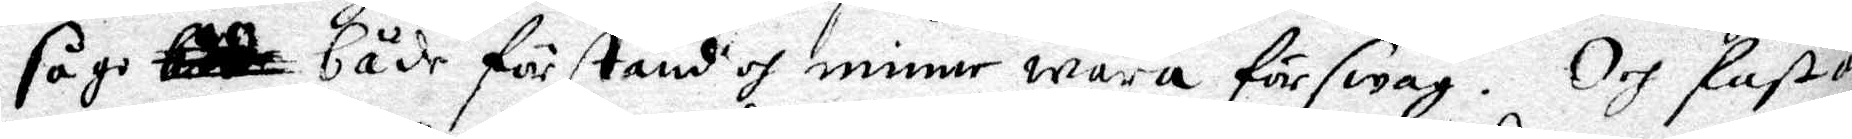sågo både både förstånd och miner wara för swag. Och fastän
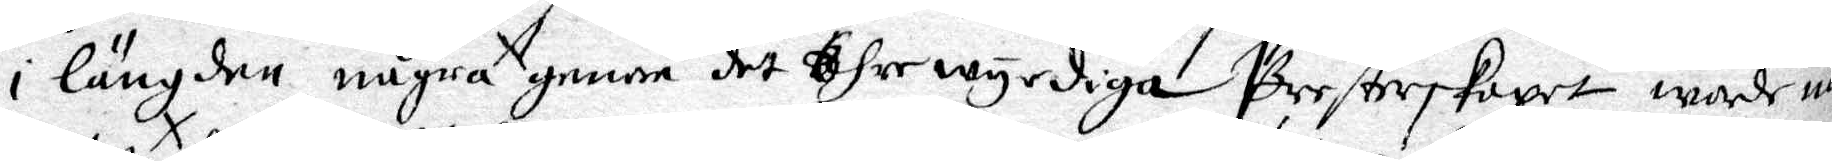i längden några geerne det Ähre wyrdiga Presterskapet warde någ
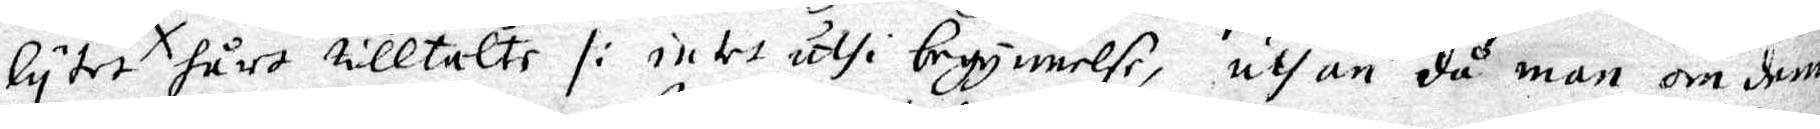lytet hårt tilltalte /: intet uthi begynnelse, uthan då man om denna
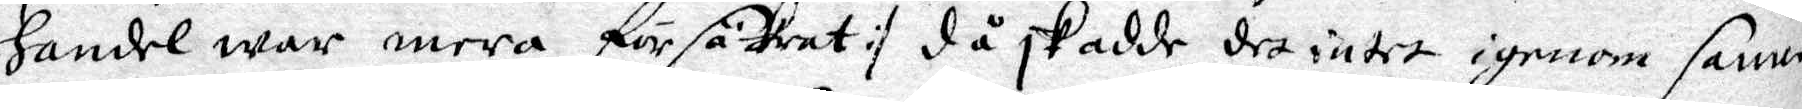handel war mera försäkrat :/ då skedde det intet igenom samwe
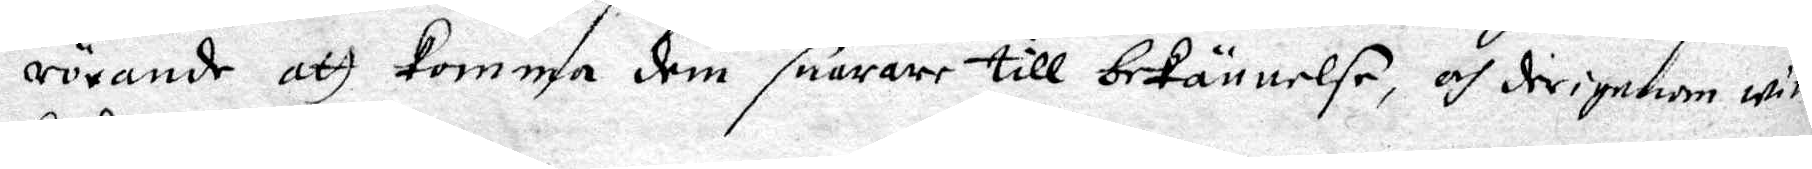rörande att komma dem snarare till bekännelse, och derigenom winna
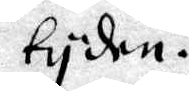tyden.
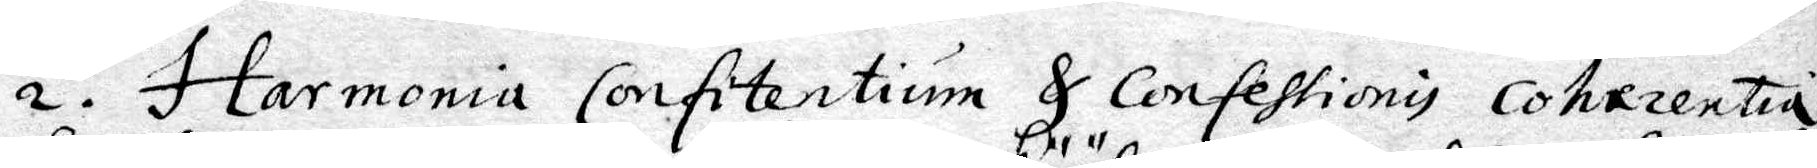2. Harmonia Confitentium & Confessionis Coherentia
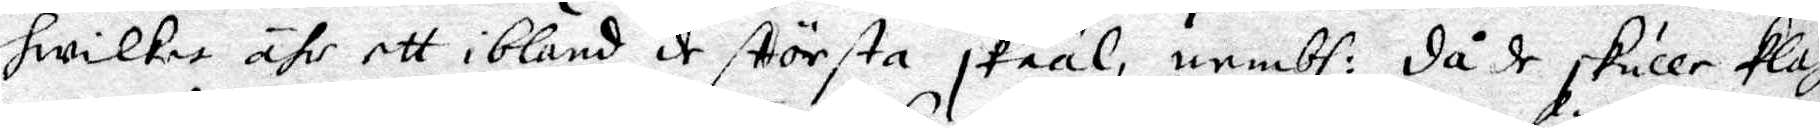hwilket ähr ett ibalnd de största skääl, nembl: då de skulle klag
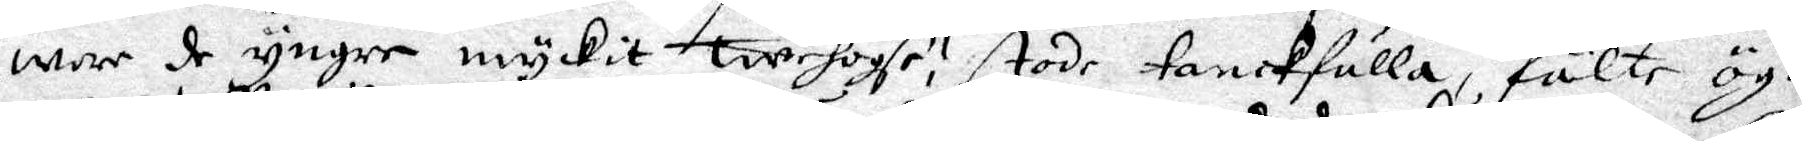wore de yngre myckit twehogse, stode tankfulla, fälte ögonen
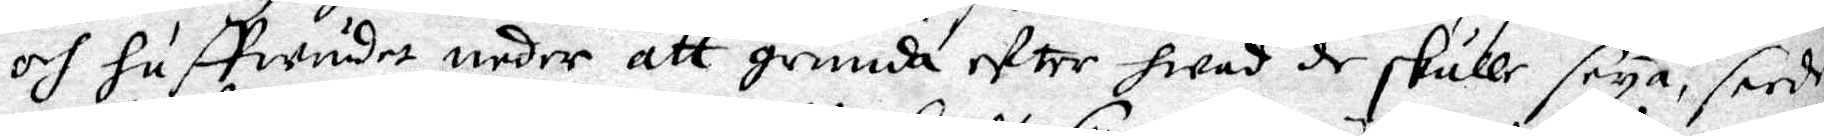och huffwudet neder att grunda efter hwad de skulle seya, sade
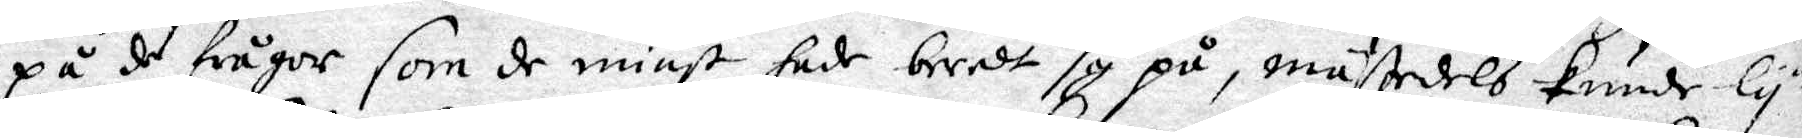på de frågor som de minst hade beredt sig på, mästedels kunde lytet
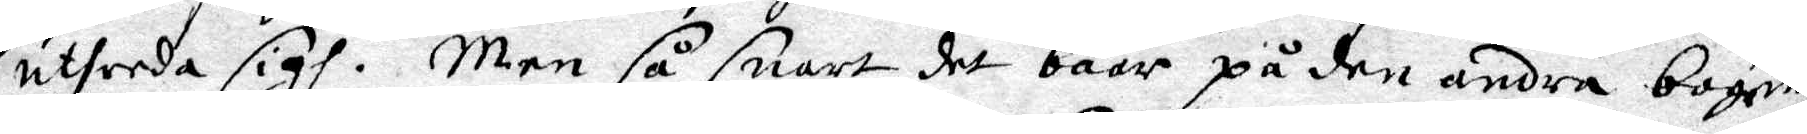utherda sigh. Men så snart det baar på den andra bogen
